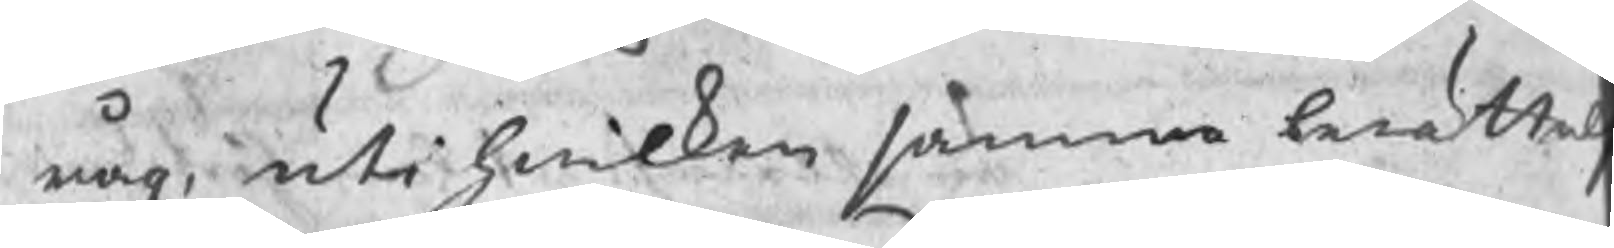råg, uti hwilken samma berättel
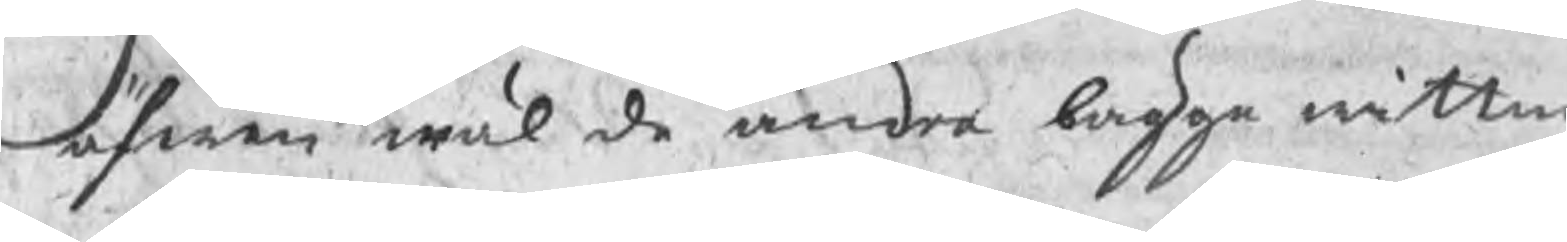äfwen wäl de andre bägge wittn
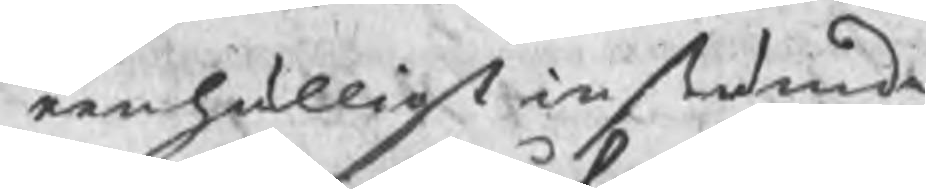eenhälligt instämde
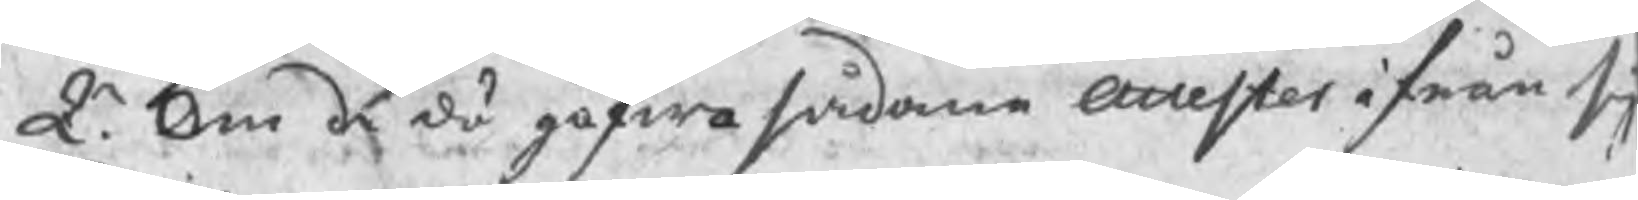Q. Om de då gåfwo sådane attester ifrån si
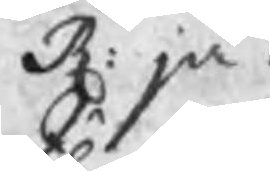R: ja.
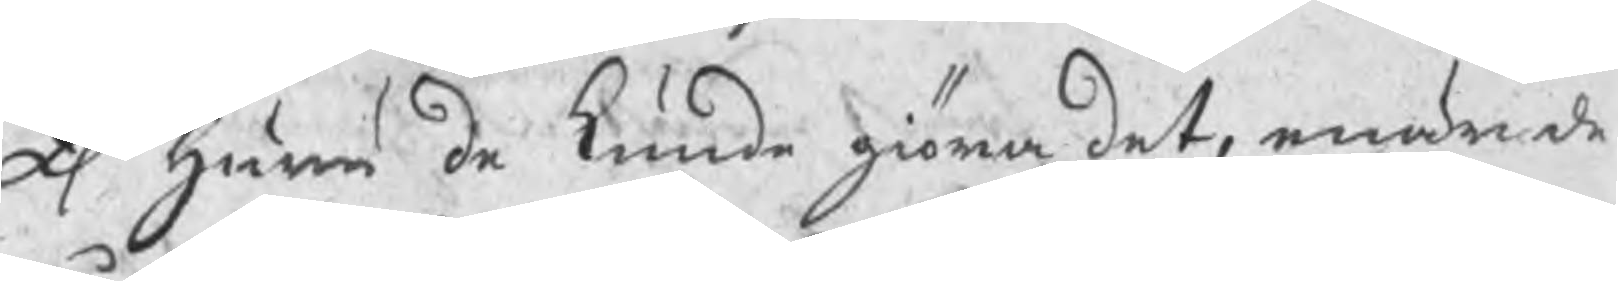Q Huru de kunde giöra det, enär de
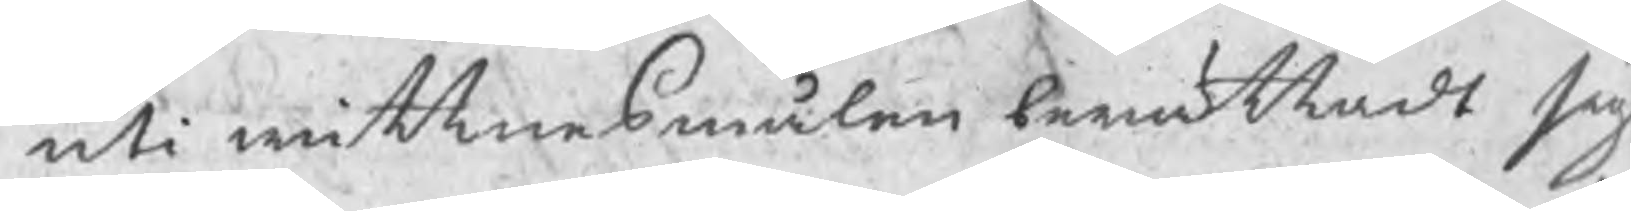uti wittnesmålen berättadt sig
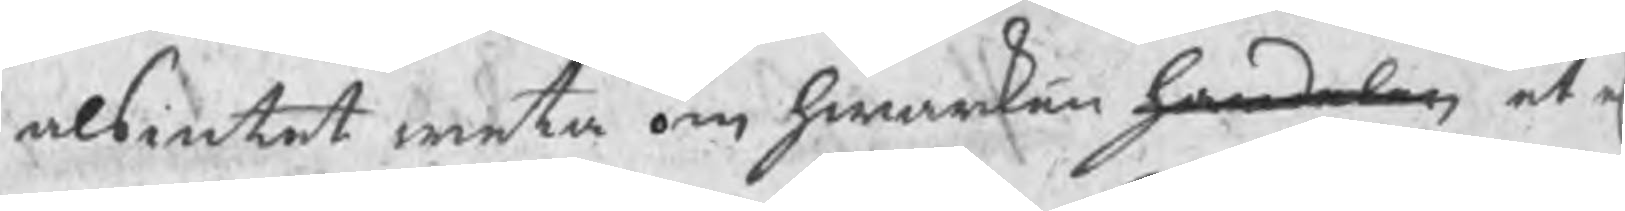alsintet weta om hwarken handelen et
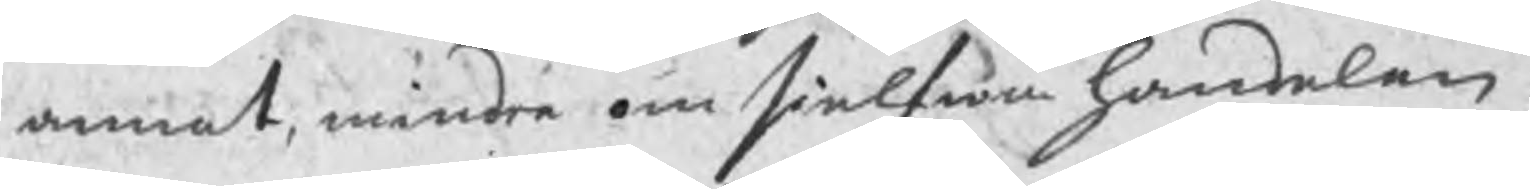annat, mindre om sielfwa handelen.
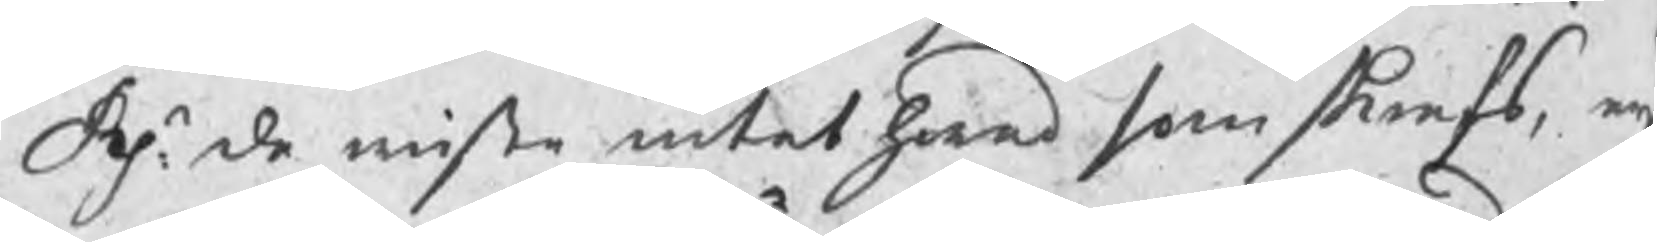Res. de wiste intet hwad som skrefs, eij
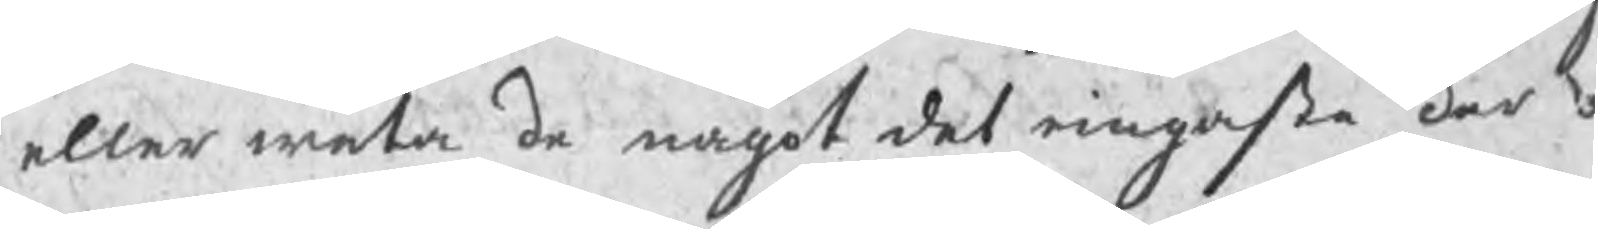eller weta de något det ringaste der o
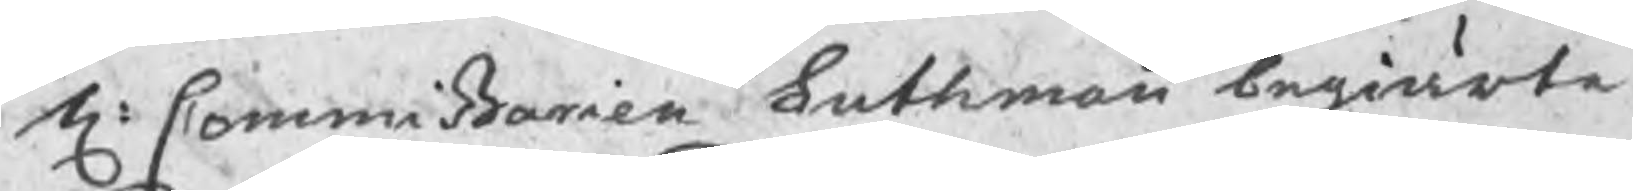H: Commißarien Luthman begiärte
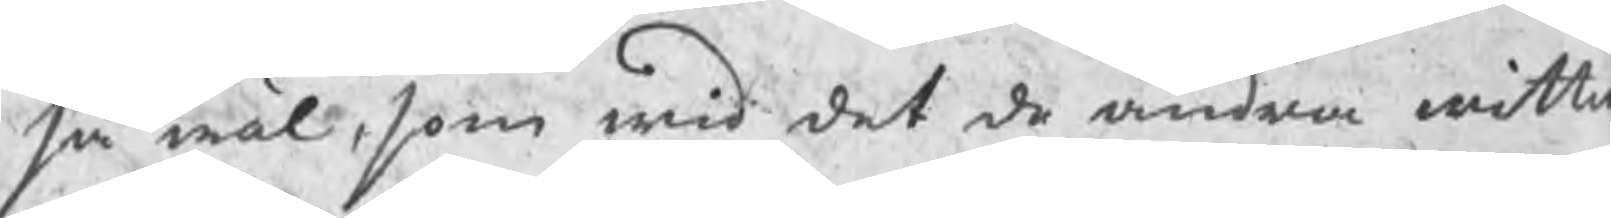så wäl, som wid det de andra wittn
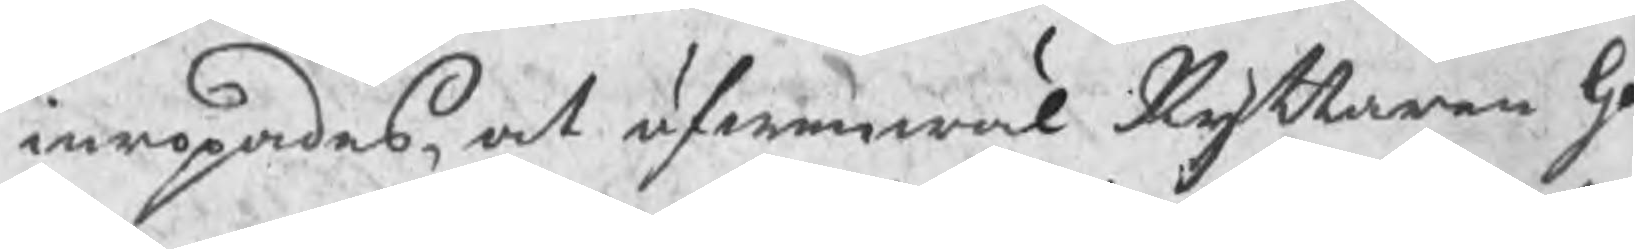inropades, at äfwenwäl Ryttaren Ga
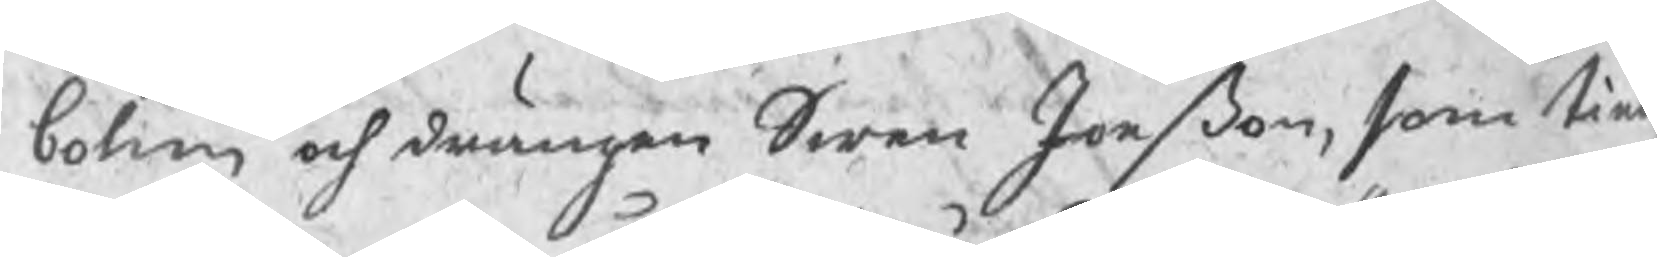bohm och drängen Swen Jonßon, som tie
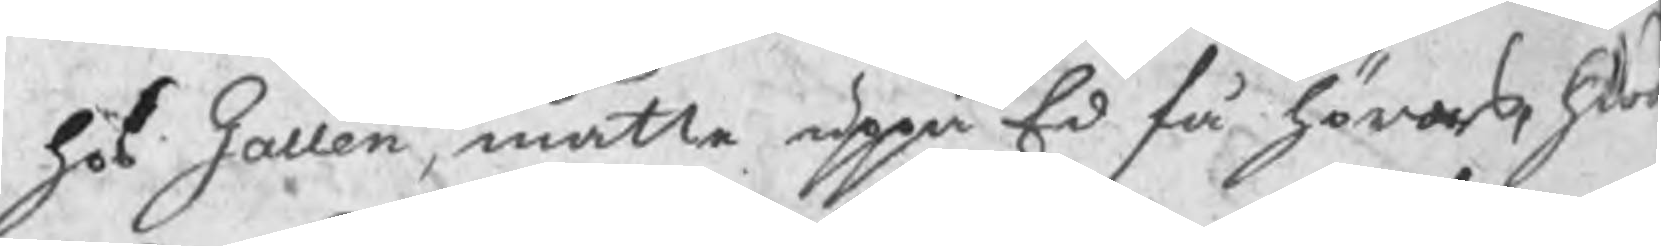hos Gallen, måtte uppå Ed få höras hw
